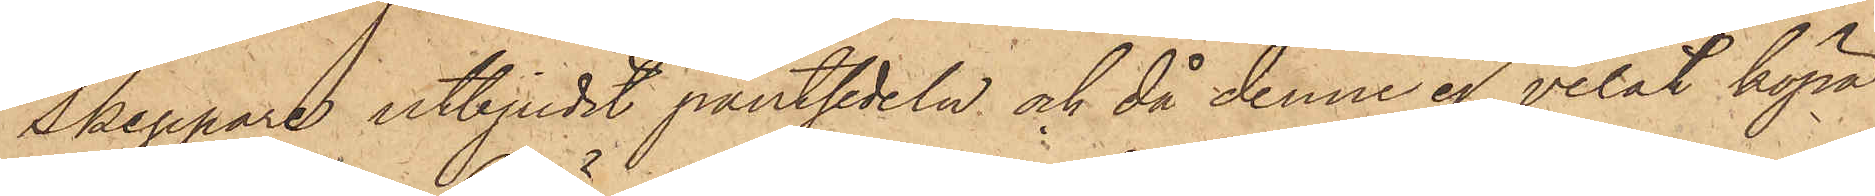Skeppare utbjudit pantsedeln och då denne ej velat köpa
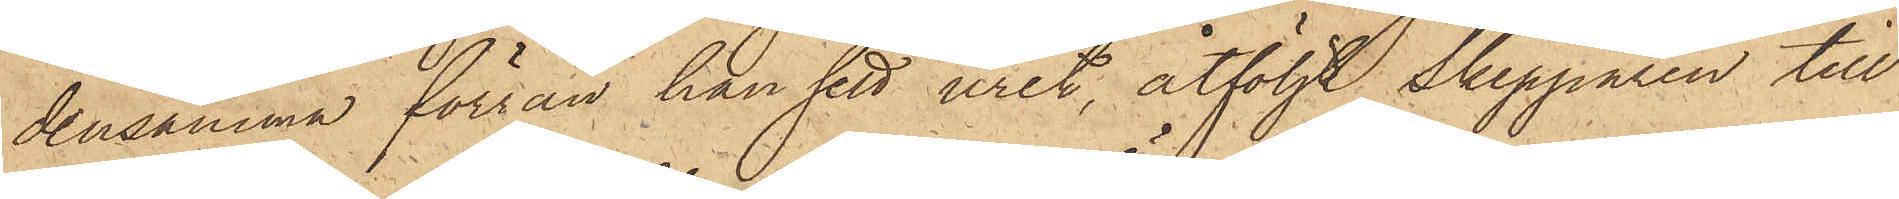densamma förrän han sett uret, åtföljt Skepparen till
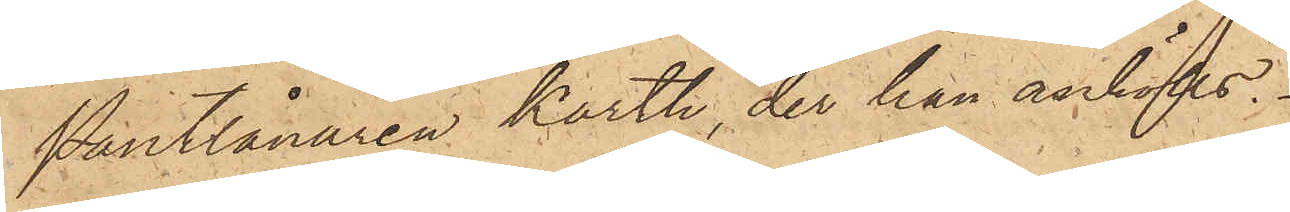Pantlånaren Karth, der han anhölls.
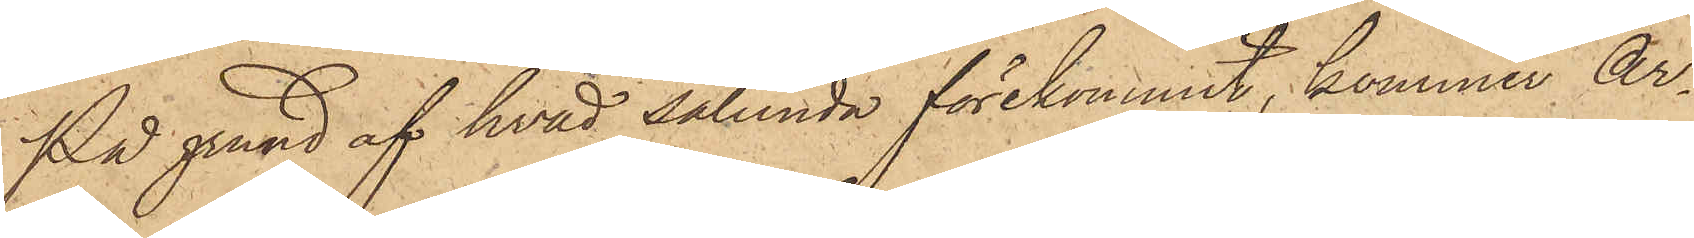På grund af hvad sålunda förekommit, kommer Ar¬
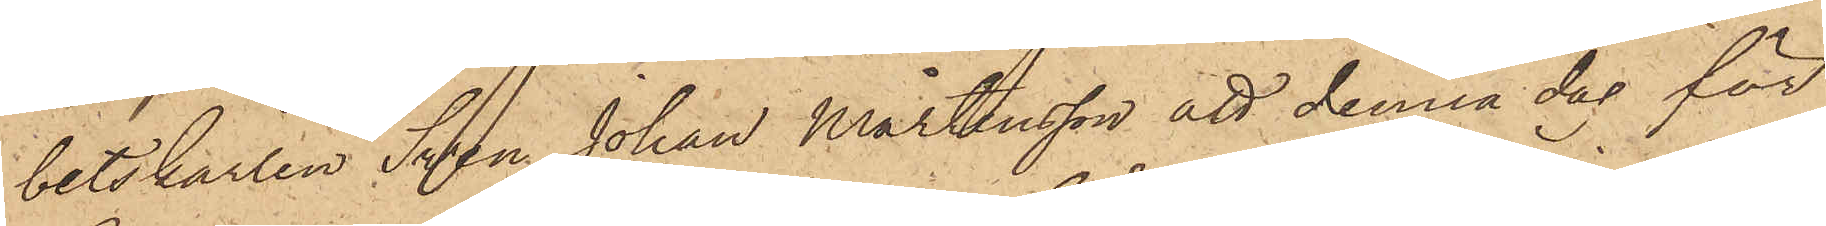betskarlen Sven Johan Mårtensson att denna dag för
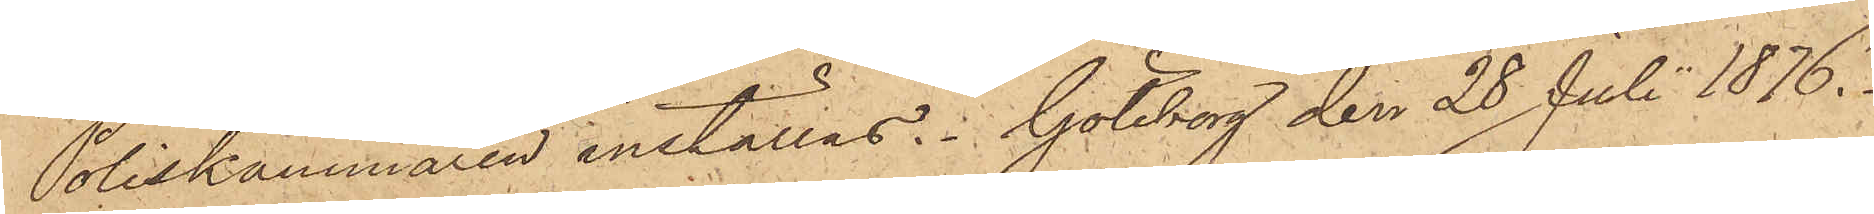Poliskammaren inställas. Göteborg den 28 Juli 1876.
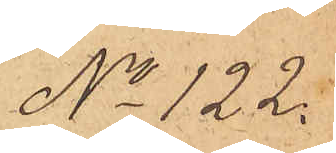No 122.
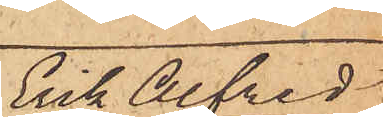Erik Alfred
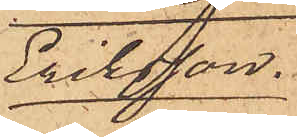Eriksson.
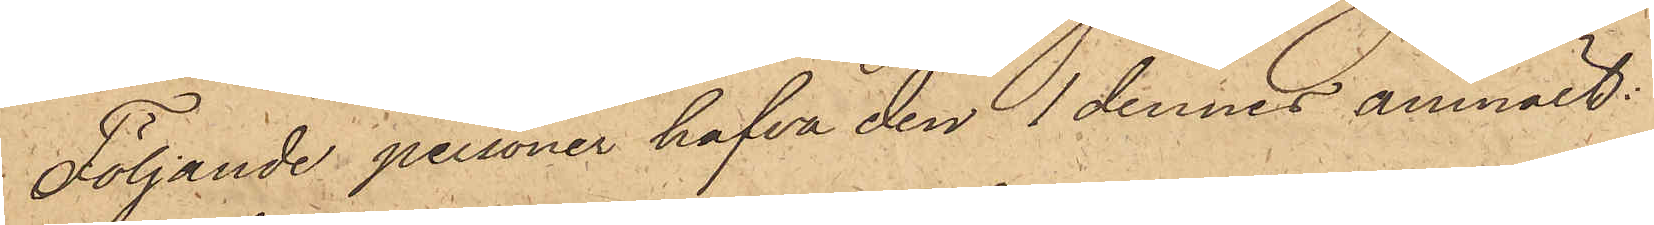Följande personer hafva den 1 dennes anmält:
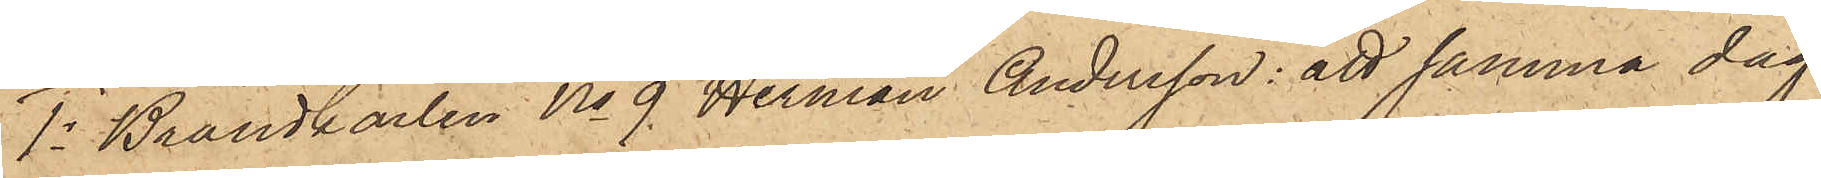1o Brandkarlen No 9 Herman Andersson: att samma dag
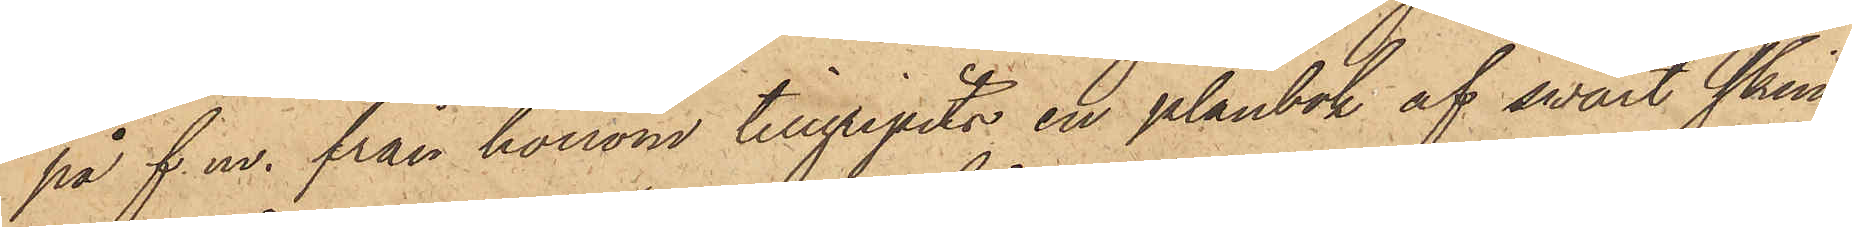på f. m. från honom tillgripits en plånbok af svart skinn,
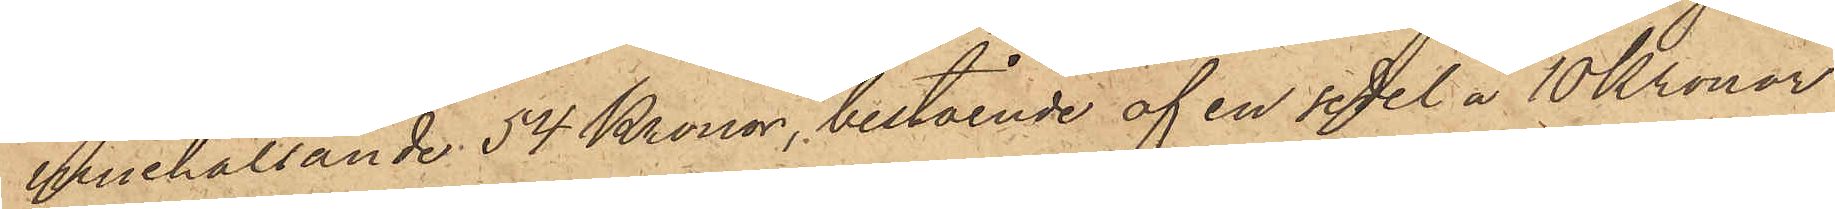innehållande 54 Kronor, bestående af en sedel å 10 Kronor
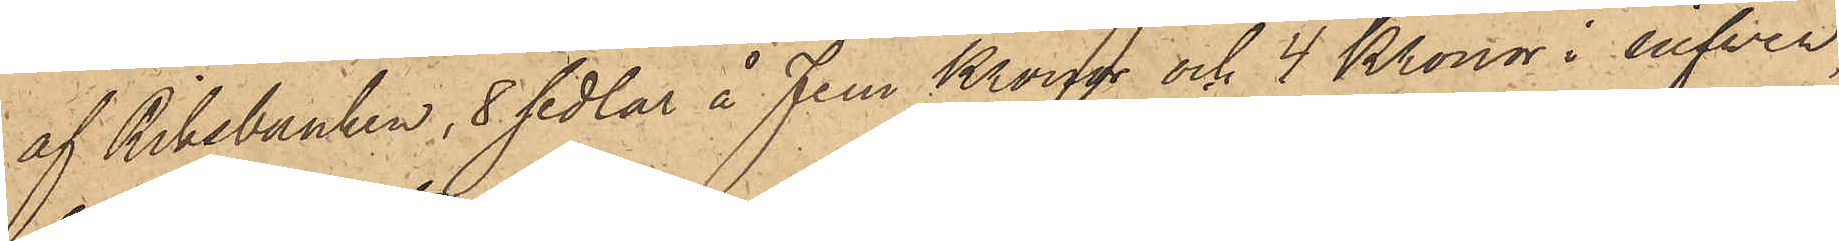af Riksbanken, 8 sedlar å Fem Kronor och 4 Kronor i silfver,
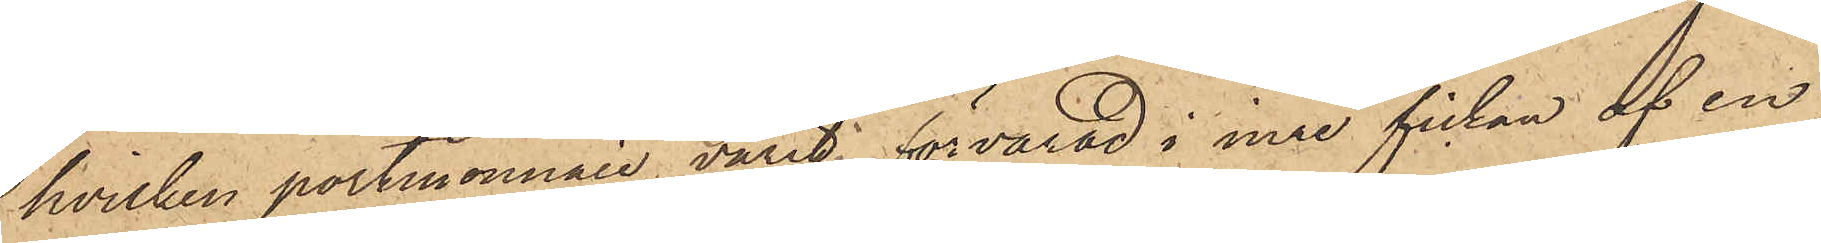hvilken portmonnaie varit förvarad i inre fickan af en
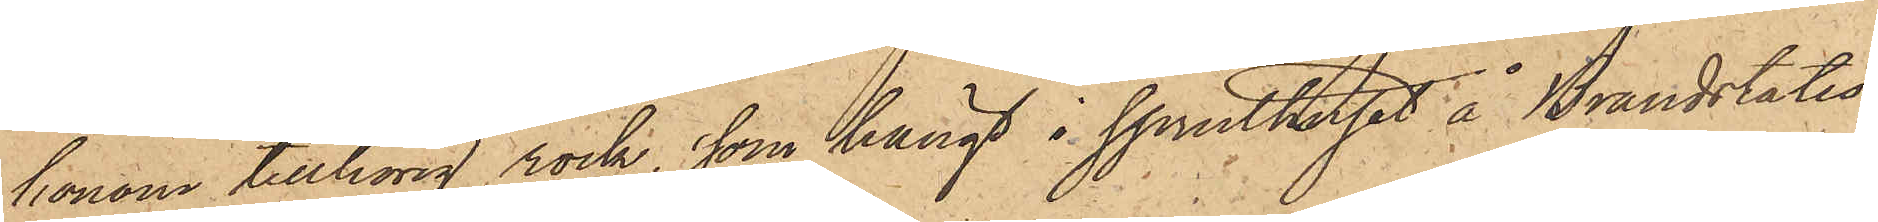honom tillhörig rock, som hängt i spruthuset å Brandstatio¬
